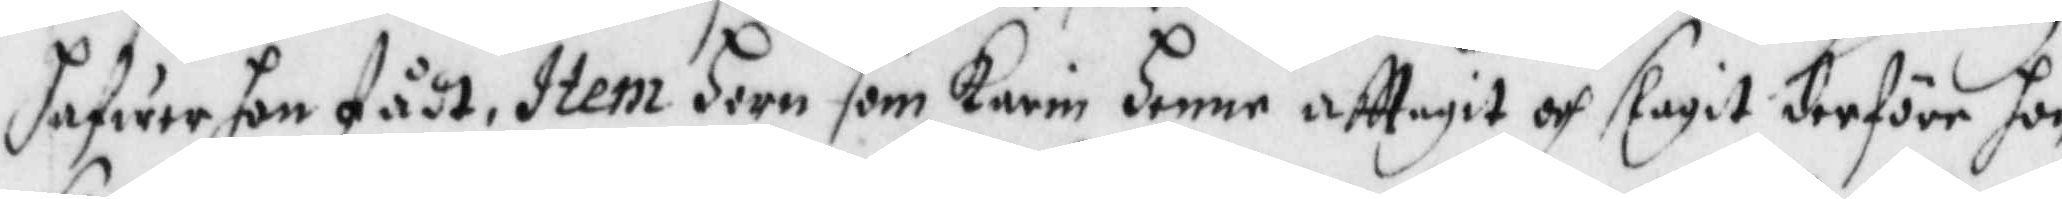hafwer hon fådt, Item horn som Karin henne afftagit och slagit derföre hon
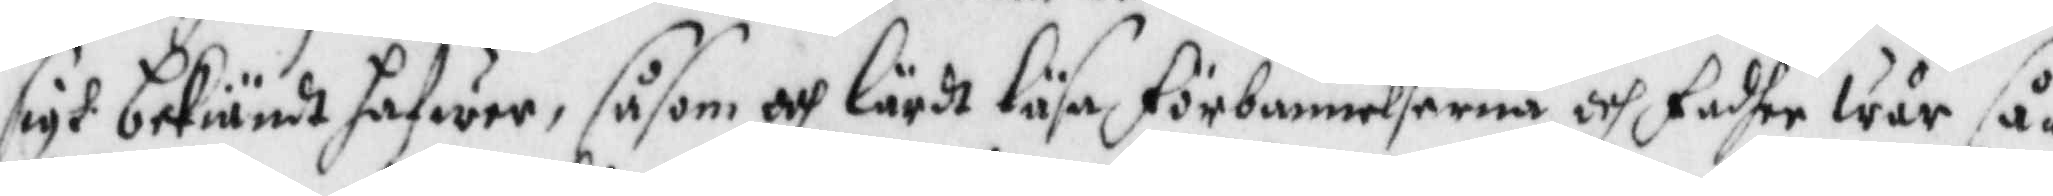sigh bekiändt hafwer, såsom och lärdt läsa förbannelserna och fadher wår så¬
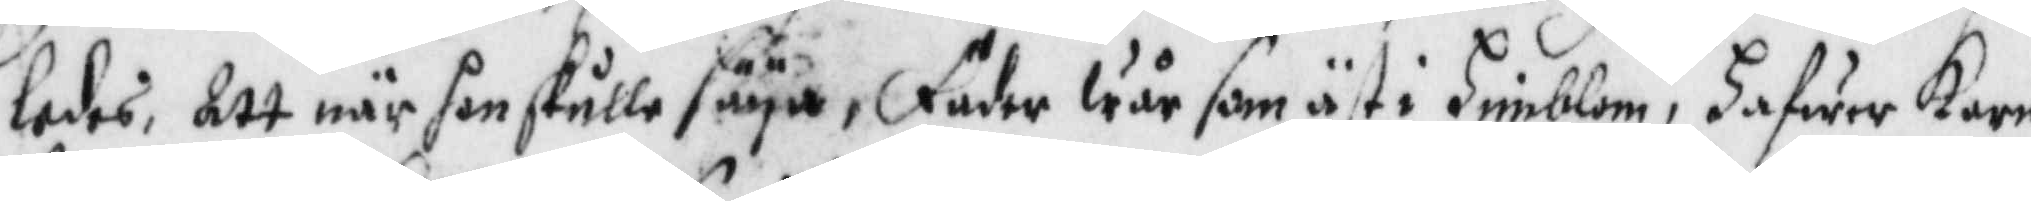ledes, att när hon skulle säya, fader wår som äst i Himblom, hafwer Karin
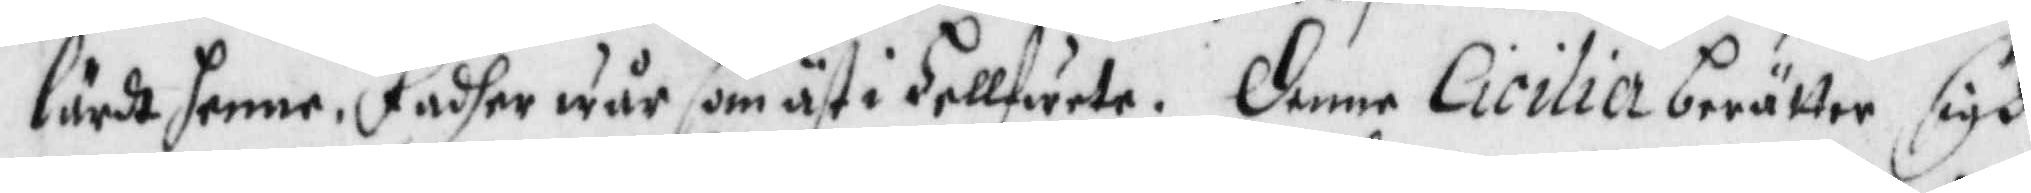lärdt henne, Fadher wår som äst i Hellfwete, Denne Cicilia berättar sigh
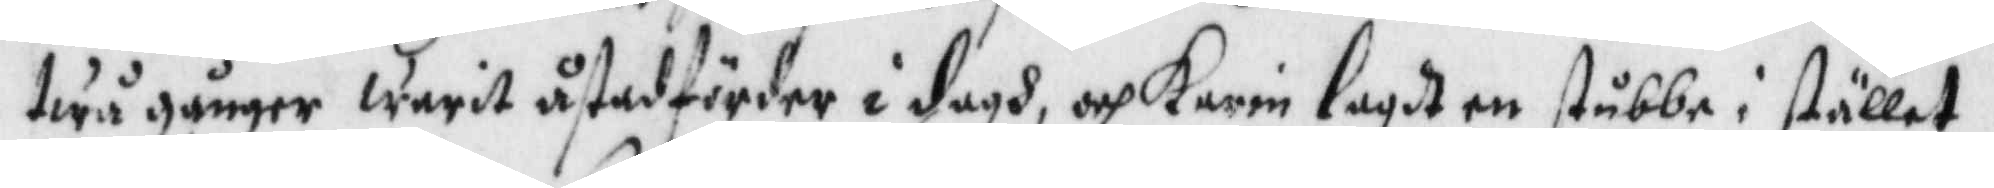twå gånger warit åstadförder i dagh, och karin lagdt en stubbe i stället.
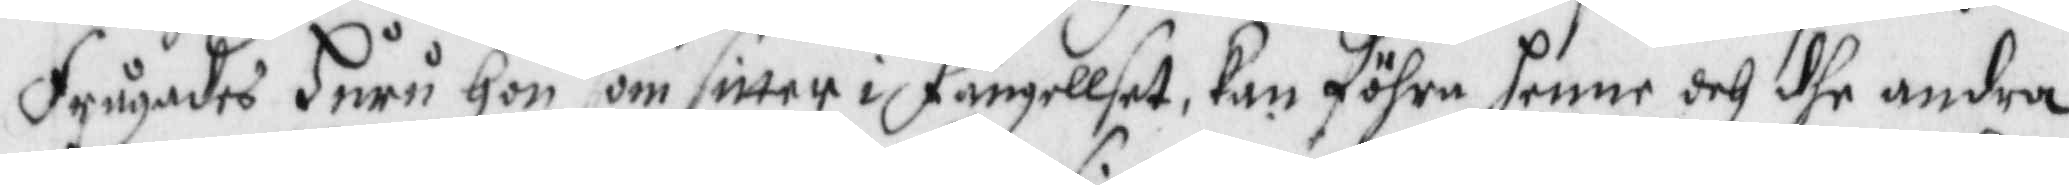frågades huru hon som sitter i fängellset kan föhra henne och dhe andra
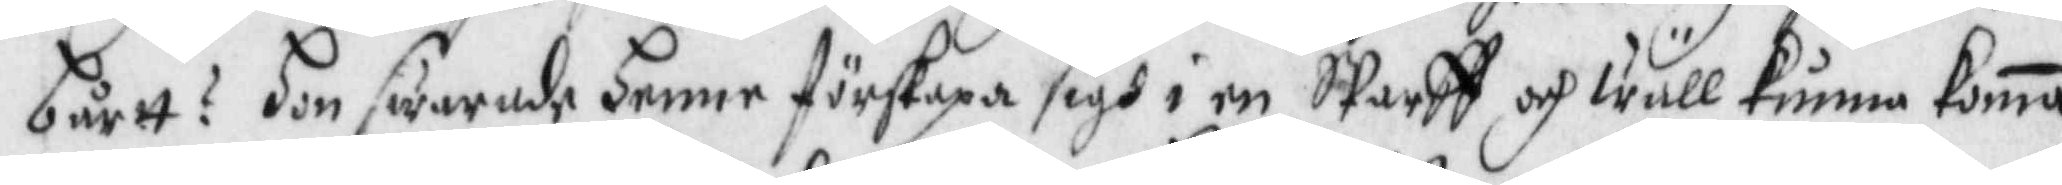bårtt? Hon swarade Henne förskapa sigh i en SParff och wäll kunna koma
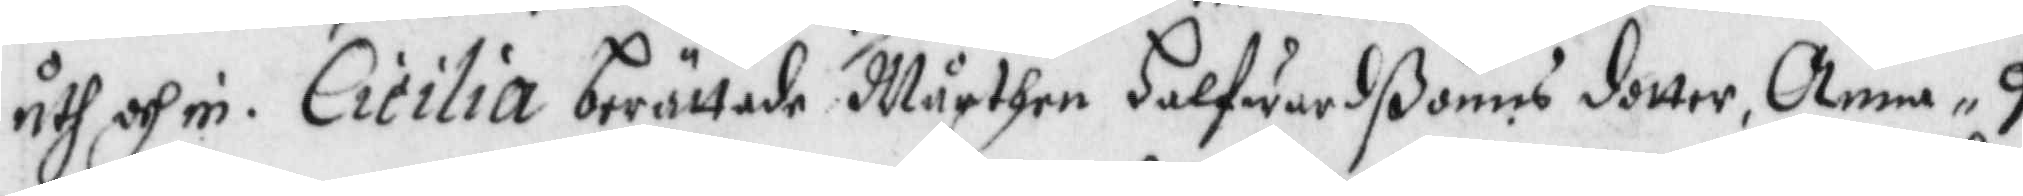uth och in. Cicilia berättade Mårthen Halfwardßonns dotter Anna 9
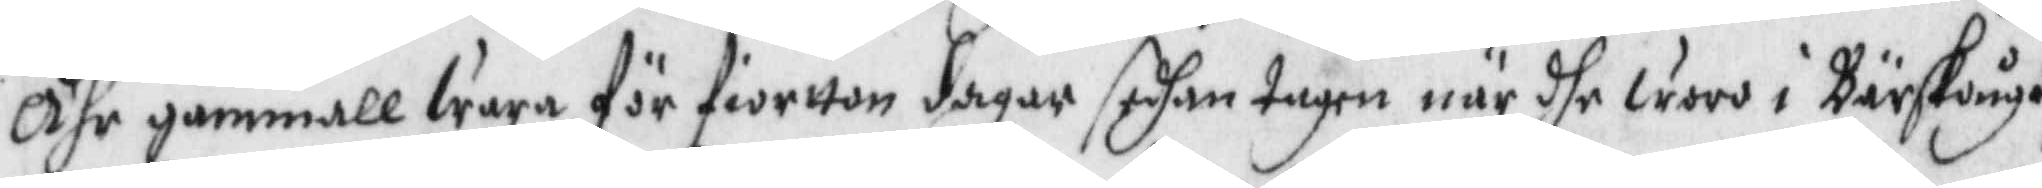Åhr gammall wara för fiorton dagar sedhan tagen när dhe woro i Bärskough
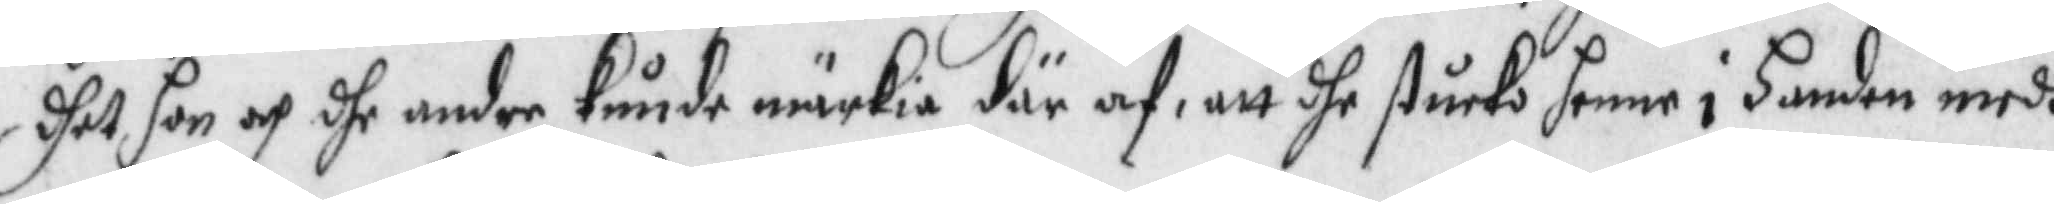dhet hon och dhe andre kunde märkia där af att dhe stucko henne i handen medh
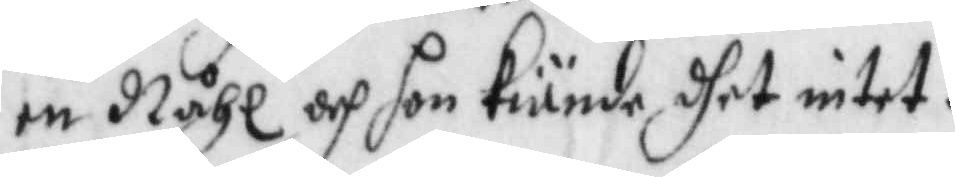en Nåhl och hon kiände dhet intet.
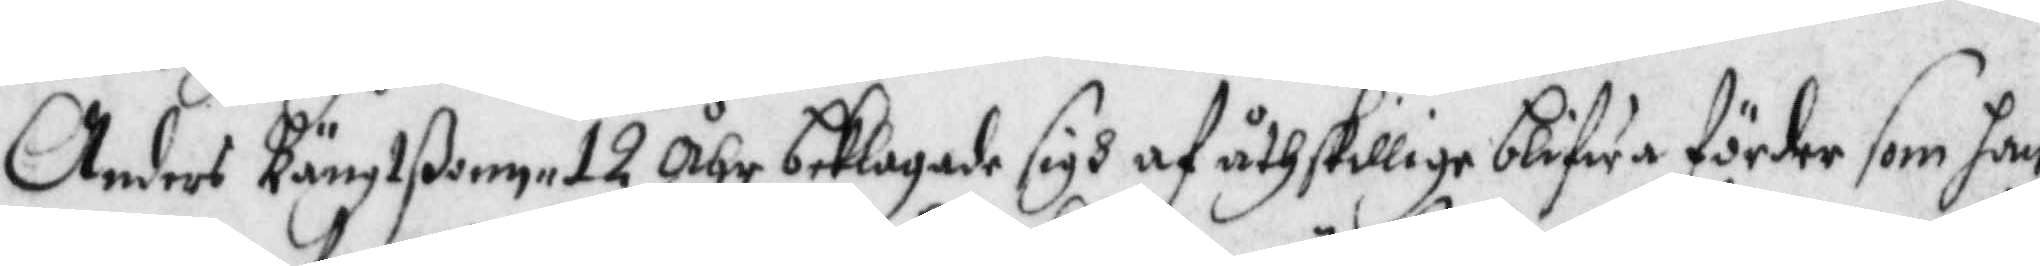Anders Bängtßonn 12 Åhr beklagade sigh af åthskillige blifwa förder som han
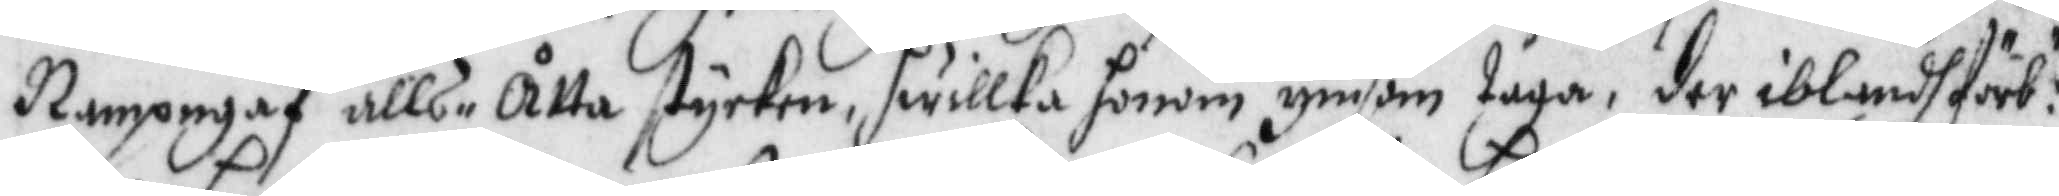Nampngaf alls åtta stycken, hwilka honom ymsom taga, der ibalndh förb:te
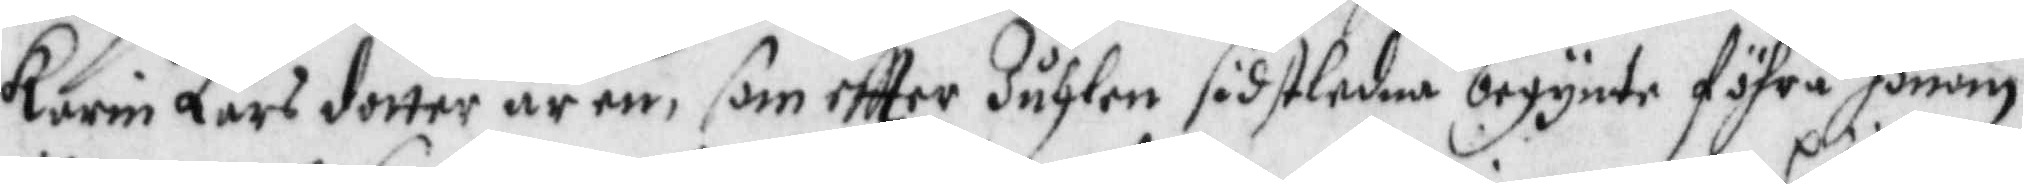Karin Lars dotter är en, som eftter Juhlen sidstledne begynte föhra honom,
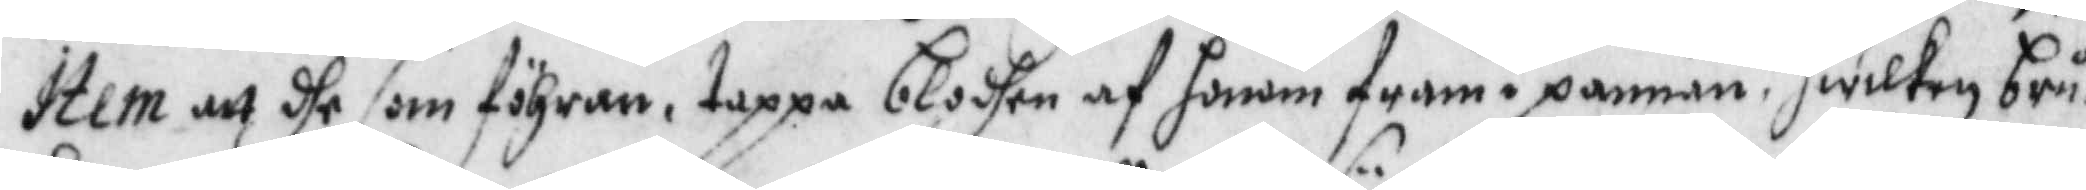Item att dhe som föhrer, tappa blodhen af honom fram i pannan, hwilken bru¬
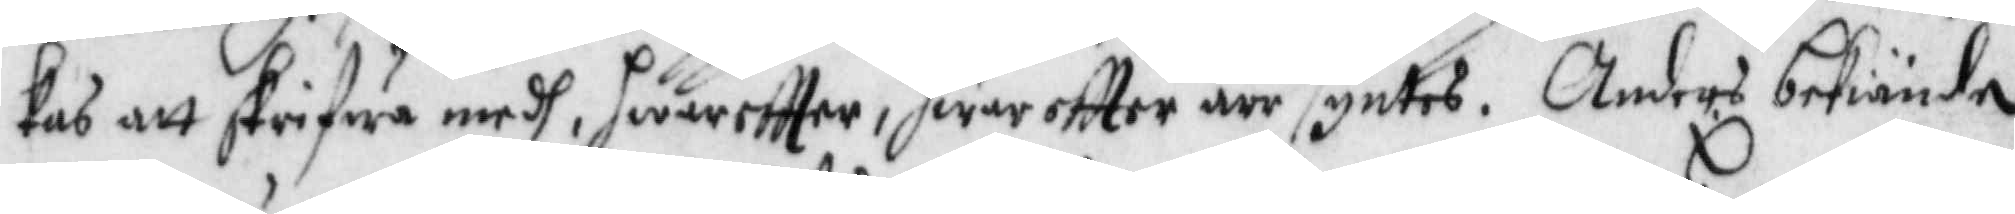kas att skrifwa medh, hwareftter, hwareftter ärr syntes. Anders bekiände
